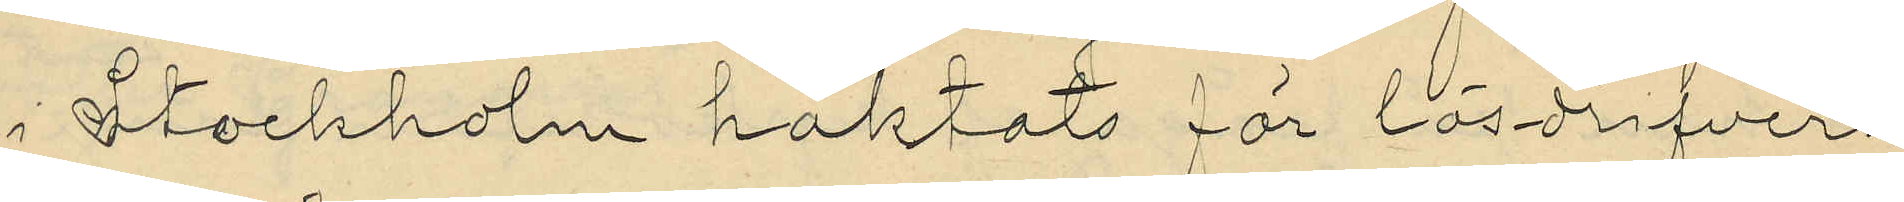i Stockholm häktats för lösdrifveri
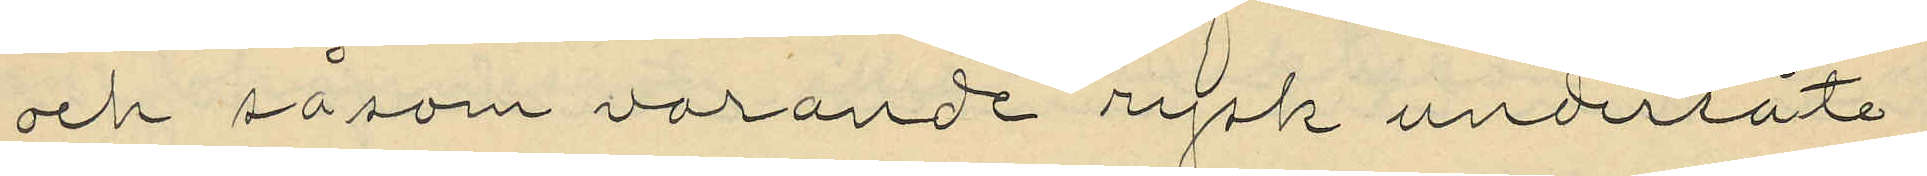och såsom varande rysk undersåte
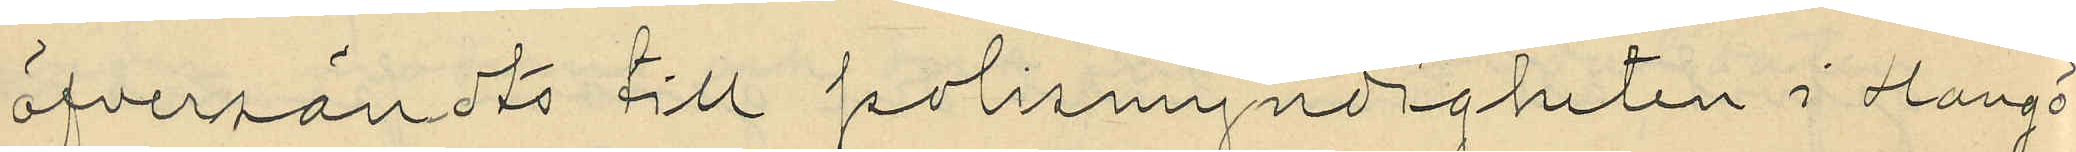öfversändts till polismyndigheten i Hangö
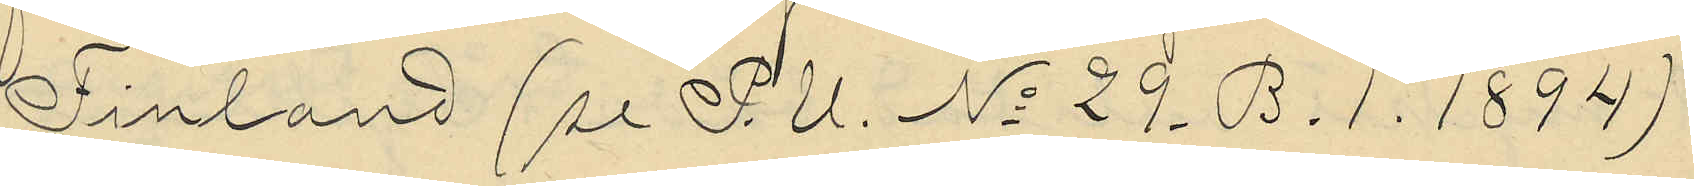i Finland (se P.U. No 29. B.1. 1894)
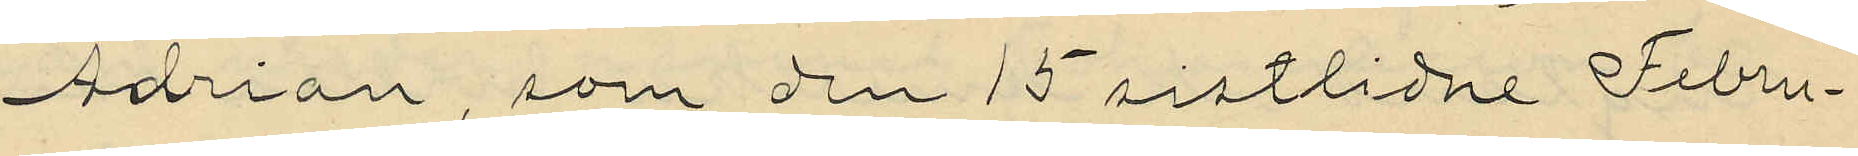Adrian, som den 15 sistlidne Febru¬
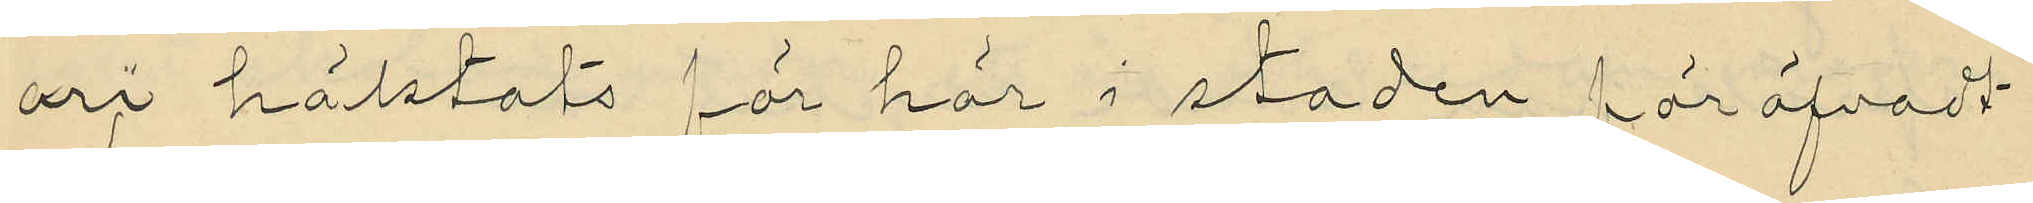ari häktats för här i staden föröfvadt
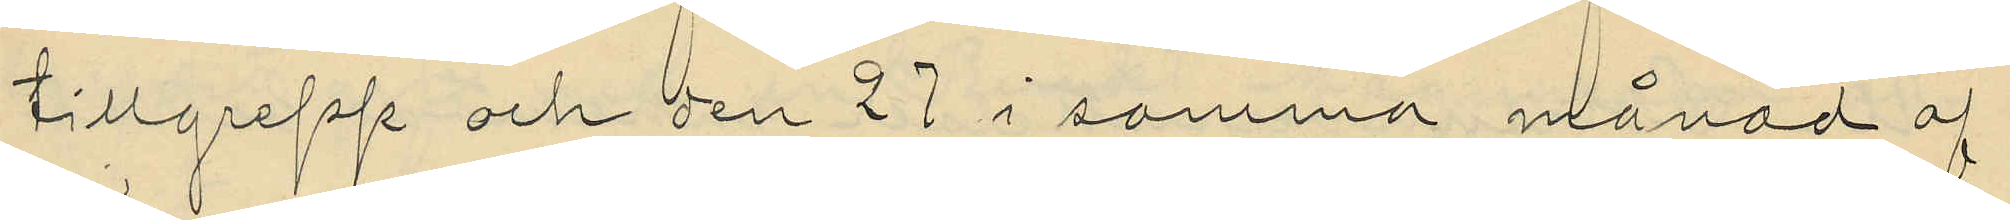tillgrepp och den 27 i samma månad af
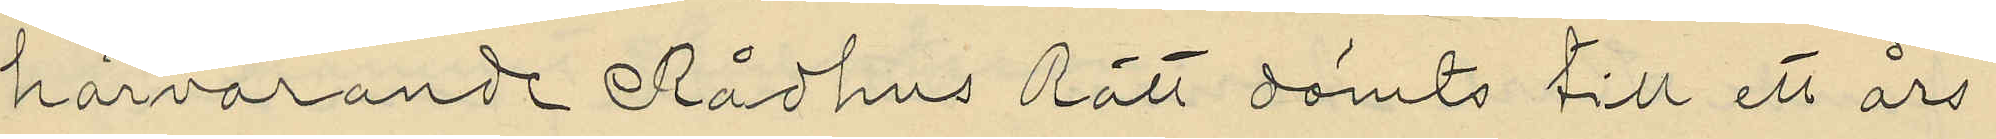härvarande Rådhus Rätt dömts till ett års
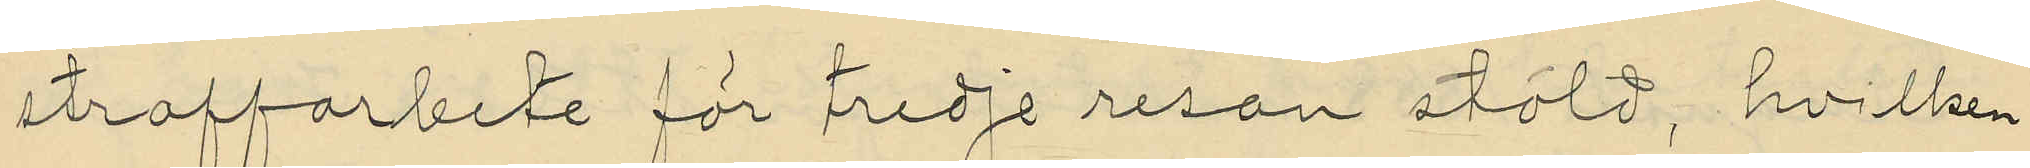straffarbete för tredje resan stöld, hvilken
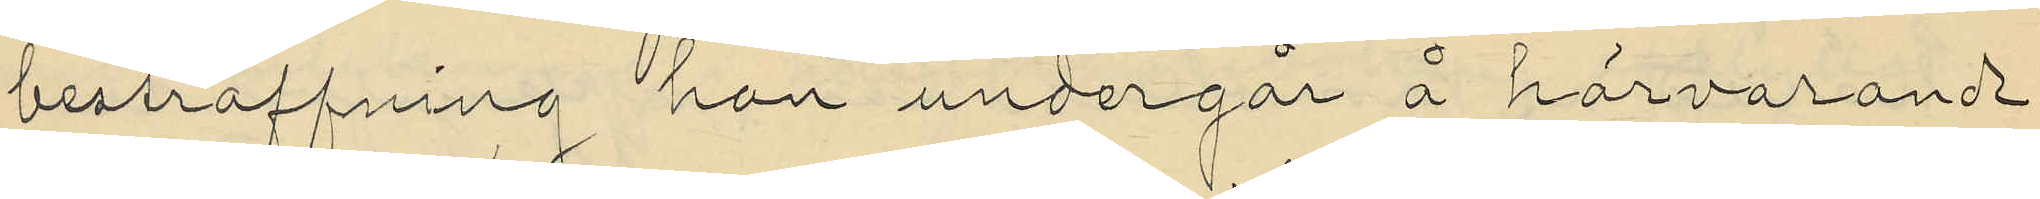bestraffning han undergår å härvarande
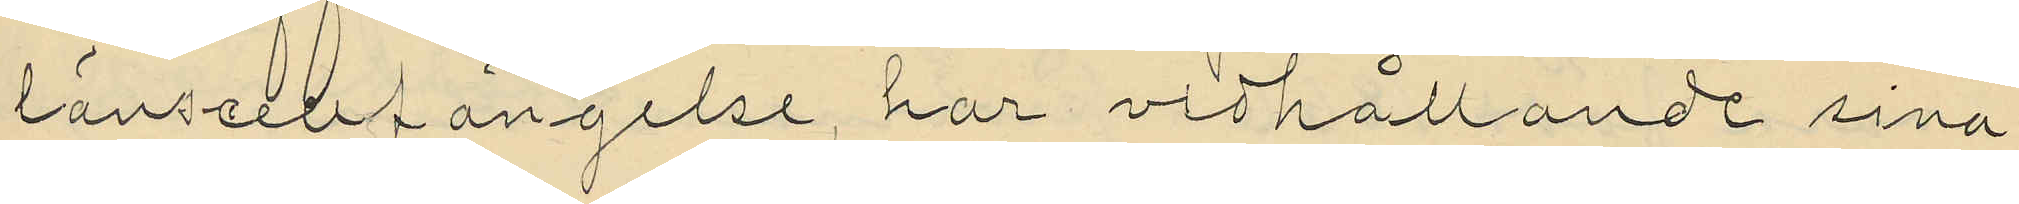länscellfängelse, har vidhållande sina
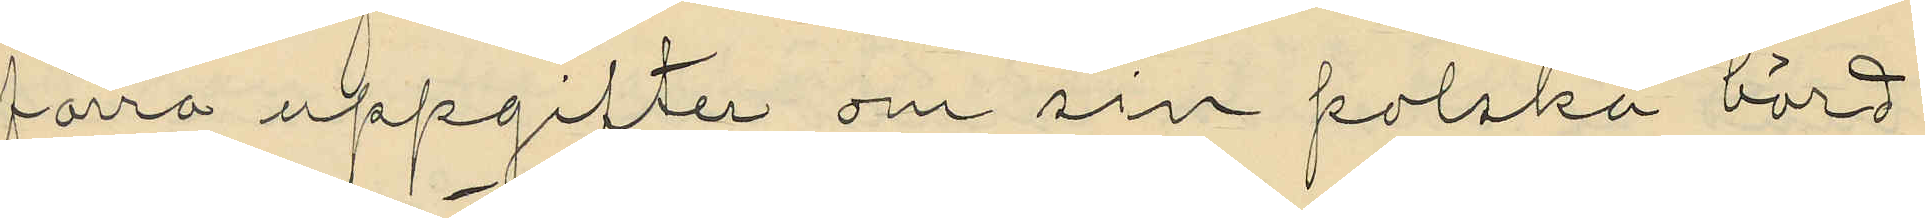förra uppgifter om sin polska börd
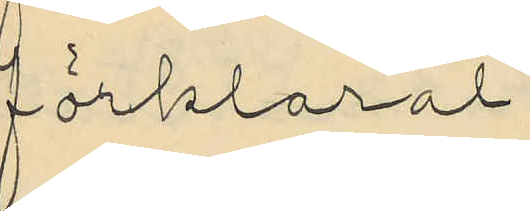förklarat,
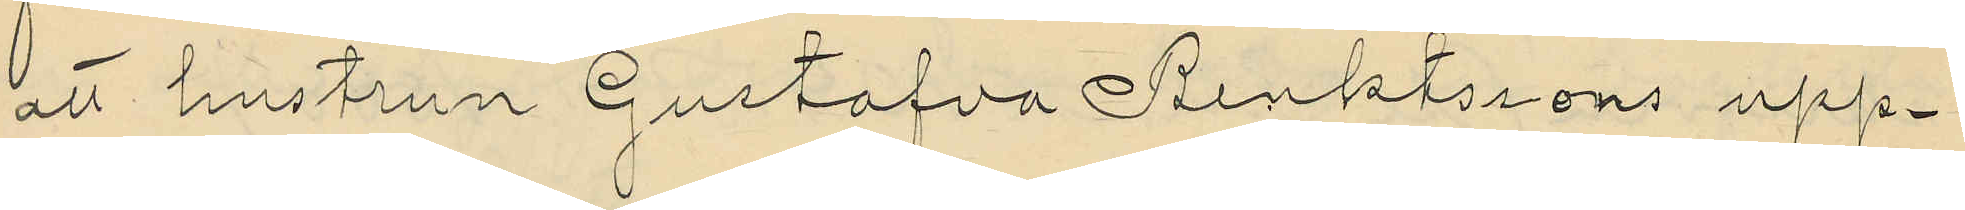att hustrun Gustafva Benktssons upp¬
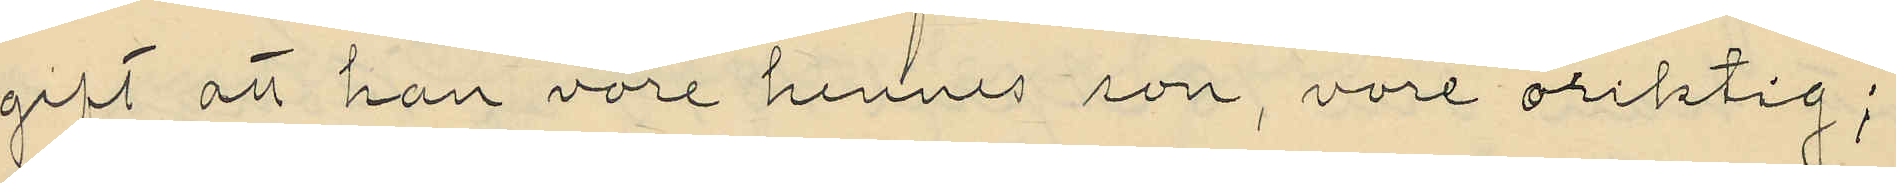gift att han vore hennes son, vore oriktig;
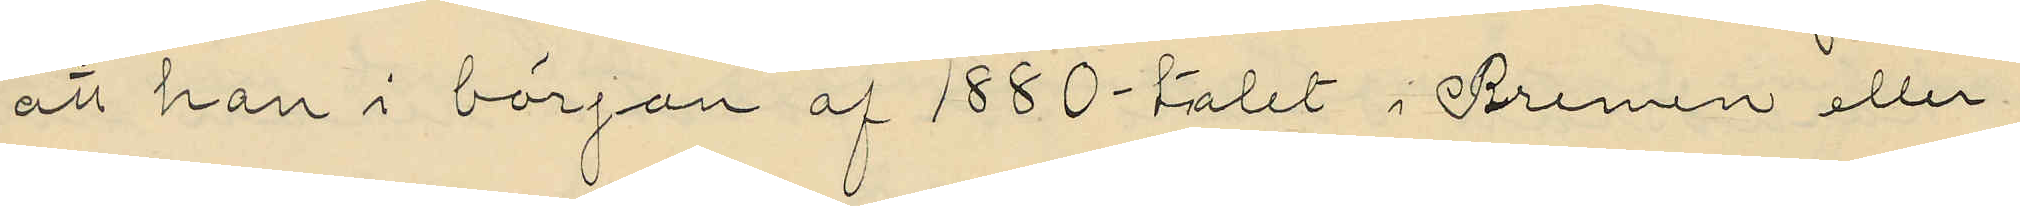att han i början af 1880-talet i Bremen eller
